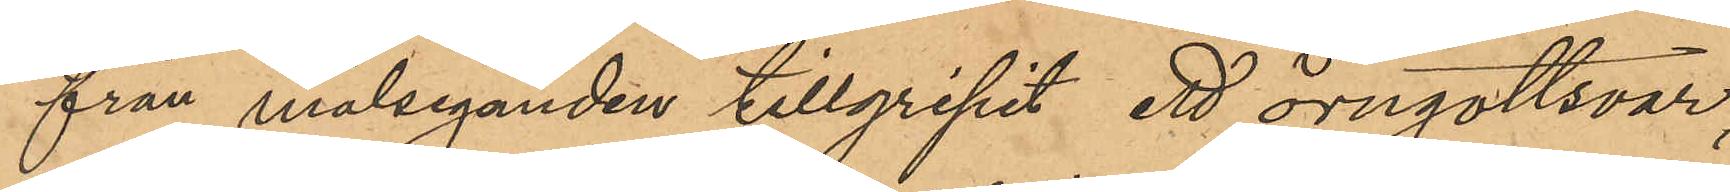från målseganden tillgripit ett örngottsvar,
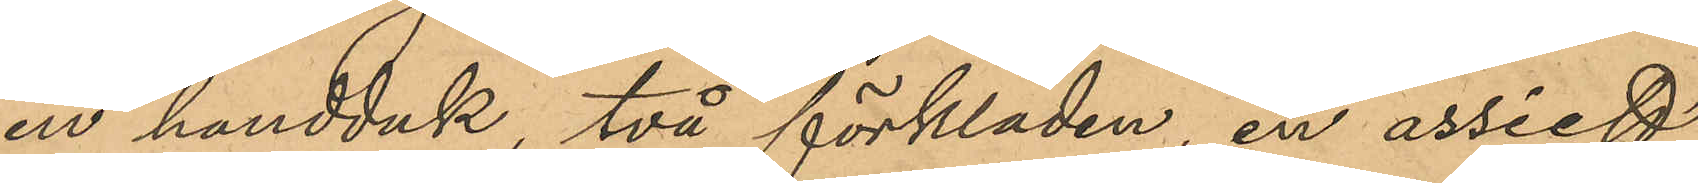en handduk, två förkläden, en assiett
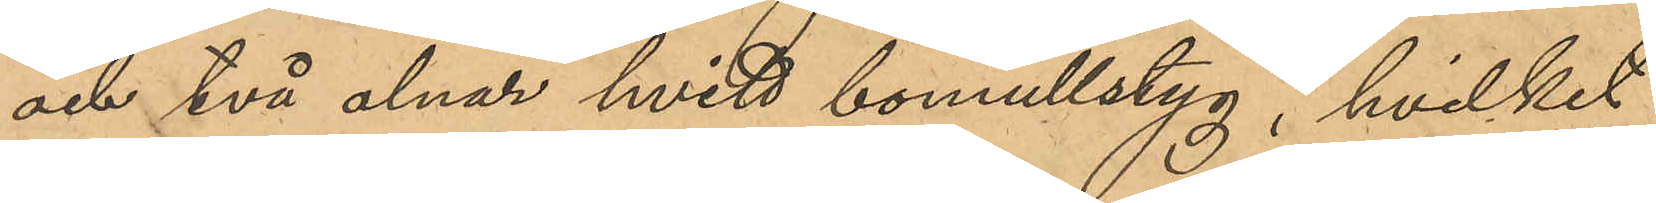och två alnar hvitt bomullstyg, hvilket
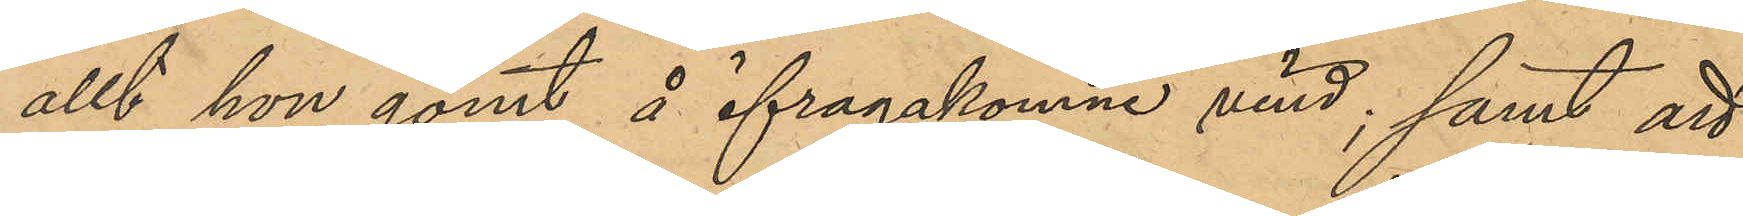allt hon gömt å ifrågakomne vind; samt att
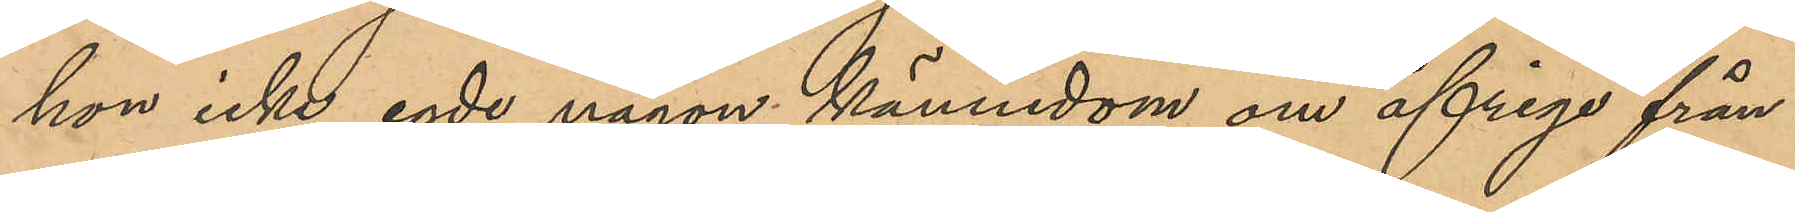hon icke egde någon kännedom om öfriga från
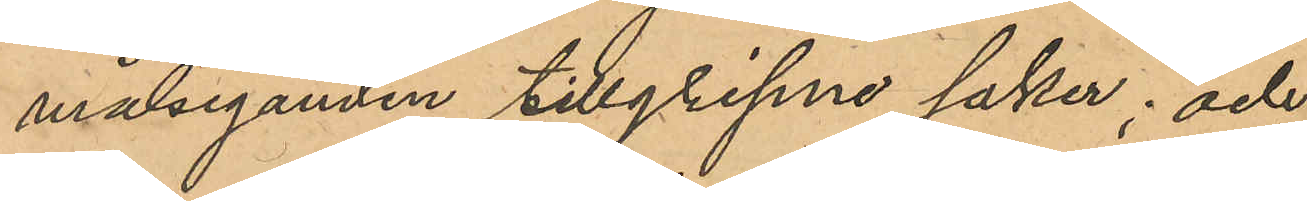målseganden tillgripne saker; och
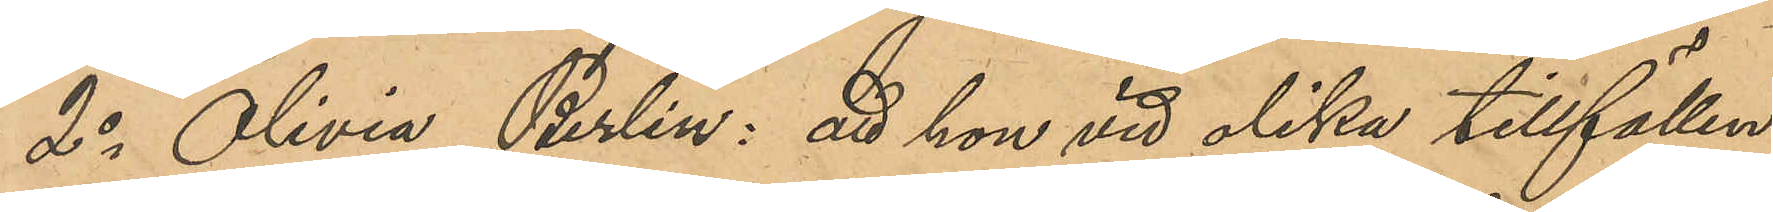2o Olivia Berlin: att hon vid olika tillfällen
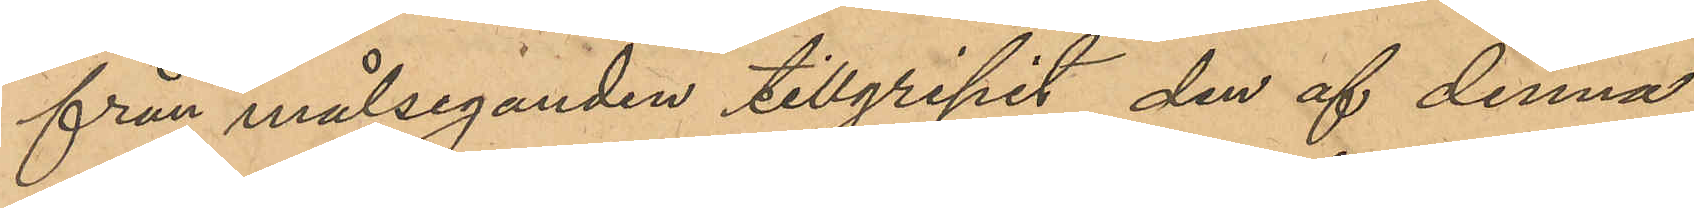från målseganden tillgripit den af denna
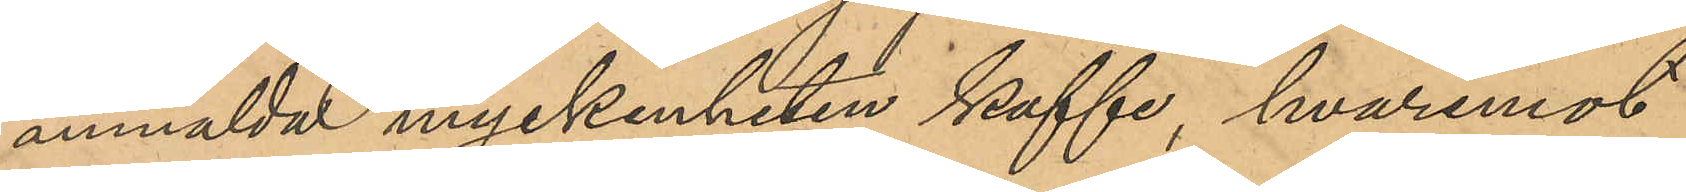anmälda myckenheten kaffe, hvaremot
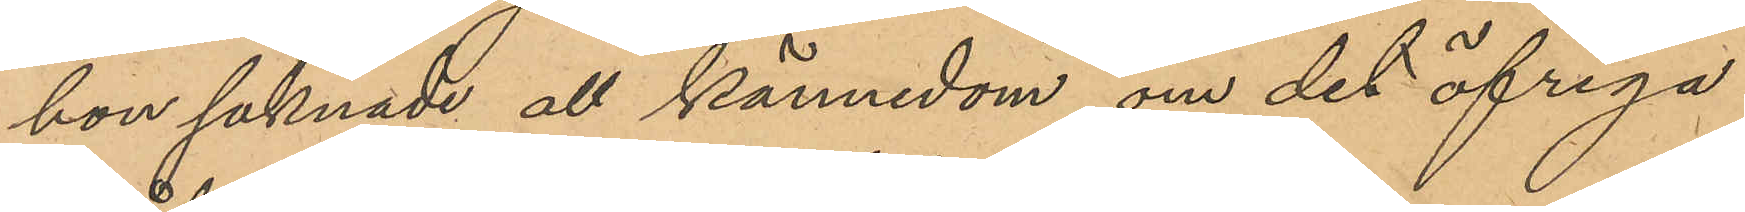hon saknade all kännedom om det öfriga
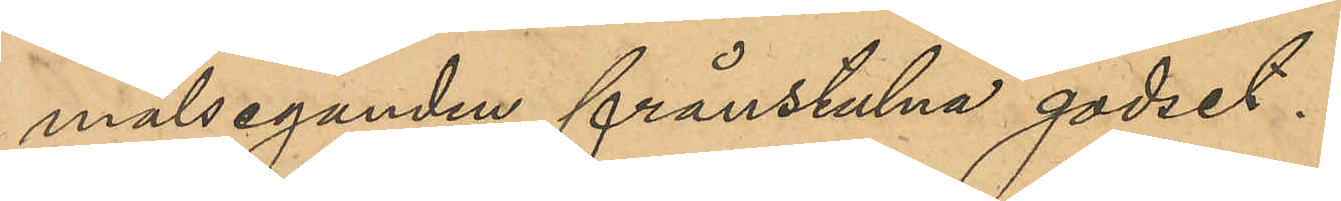målseganden frånstulna godset.
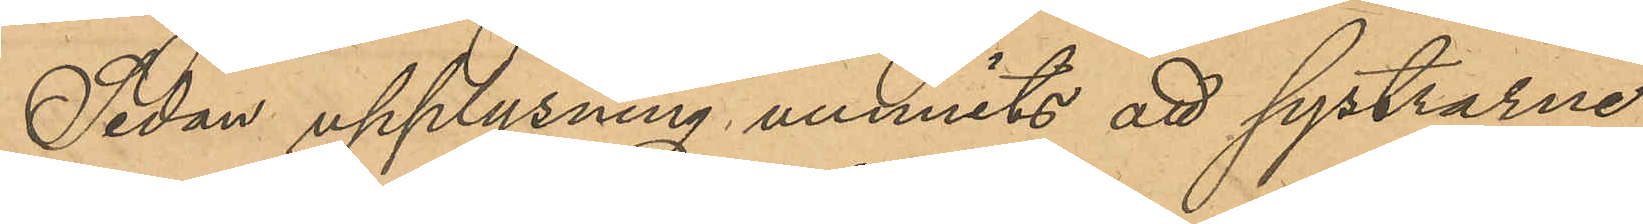Sedan upplysning vunnits att systrarne
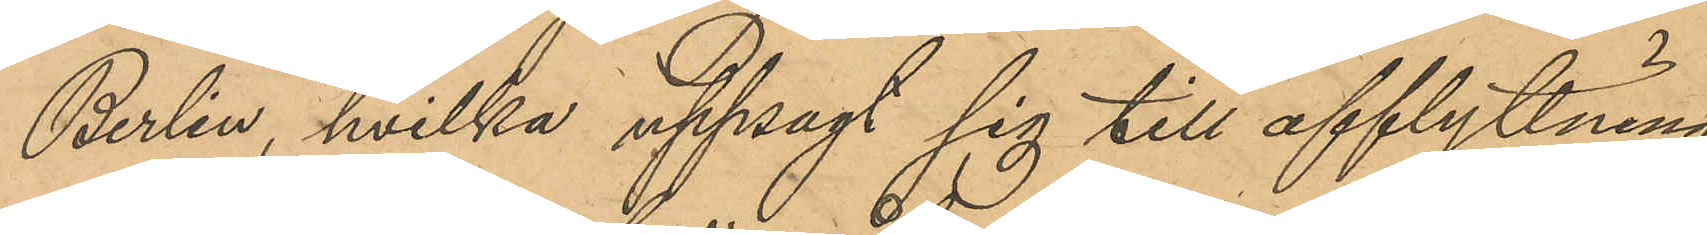Berlin, hvilka uppsagt sig till afflyttning
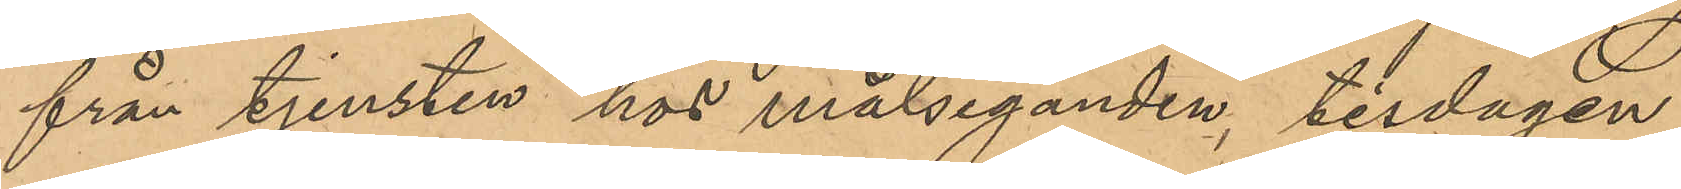från tjensten hos målseganden, tisdagen
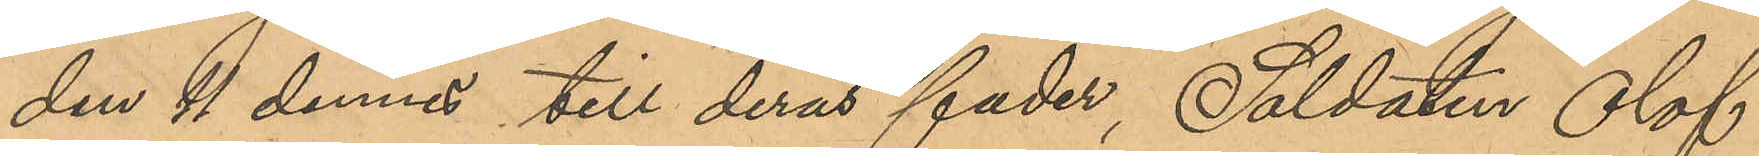den 11 dennes till deras fader Soldaten Olof
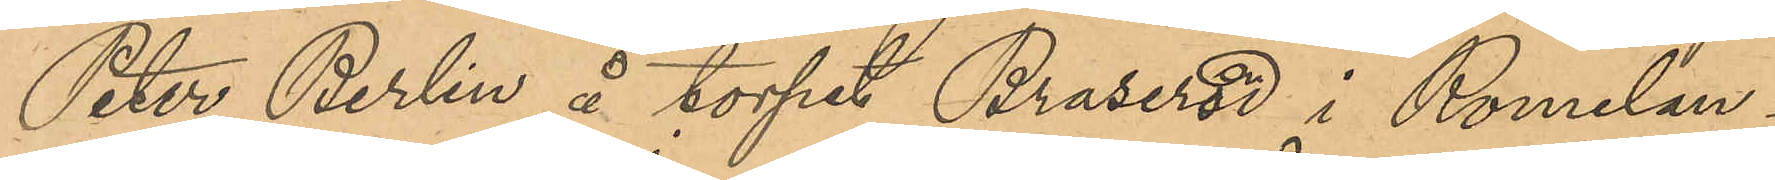Peter Berlin å torpet Braseröd i Romelan¬
